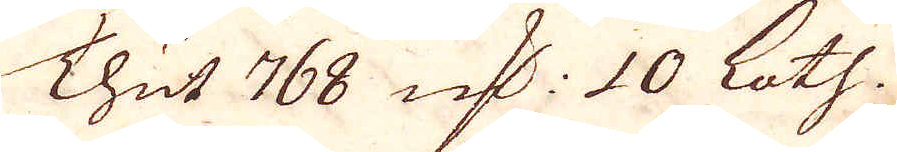Thut 768 qv:r 10 Loth.
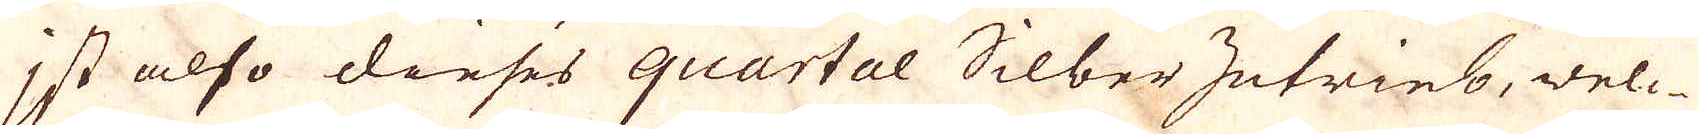Ist also dieses quartal Silber Zutrieb, des-
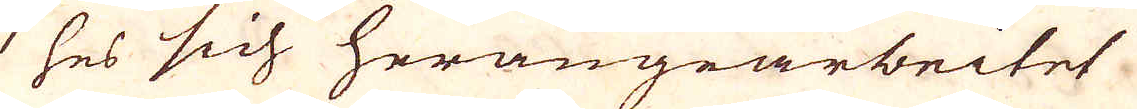ses sich herangearbeitet
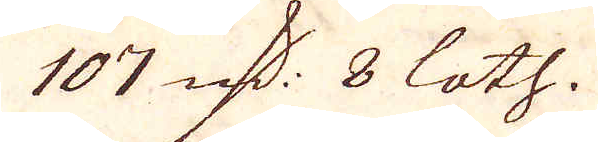107 qv:r 8 loth.
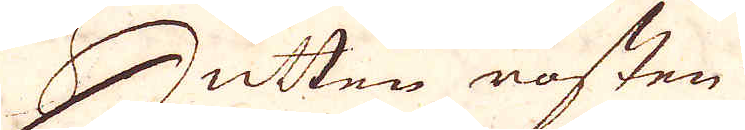Hütten rosten
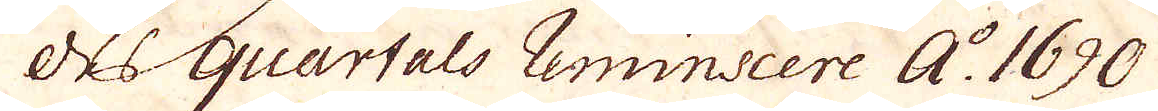des quartals Reminiscere A:o 1690
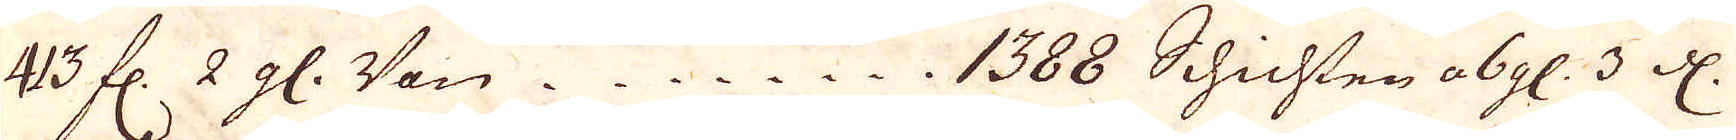43 fl. 2 gl. Von. 1388 Schichten a 6 gl. 3 d.
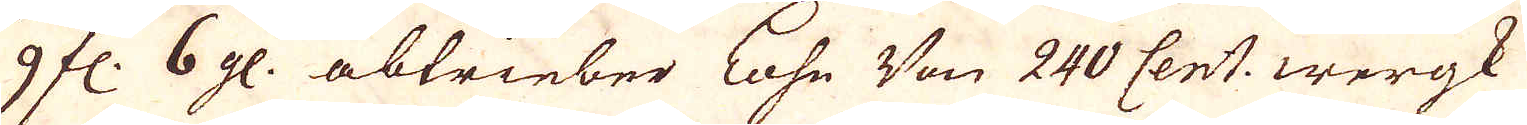9 fl. 6 gl. abtrieber Lohn Von 240 Cent. wergk
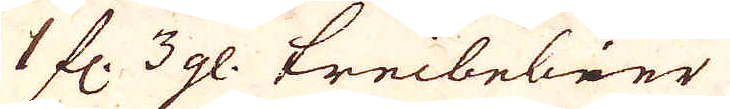1 fl. 3 gl. treibebier
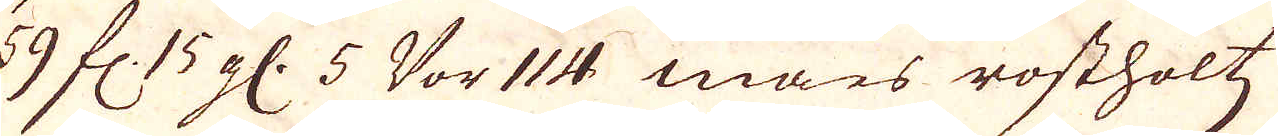59 fl. 15 gl. 5 Vor 114 mars rostholtz
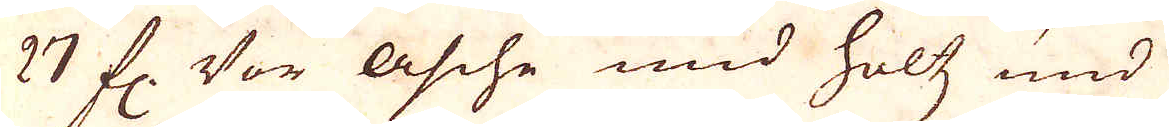27 fl. Vor Asche und holtz und
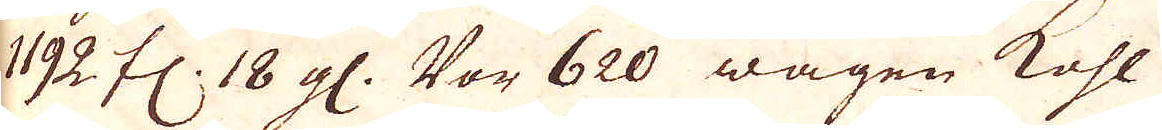1192 fl. 18 gl. Vor 620 wagen Kohl
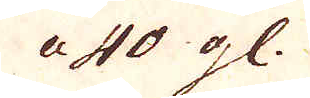a 40 gl.
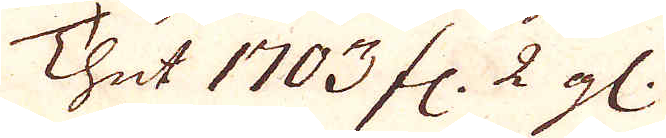Thut 1703 fl. 2 gl.
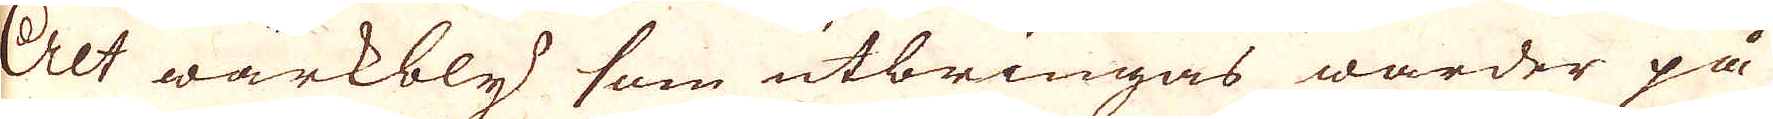Alt wärkbly som utbringas warder på
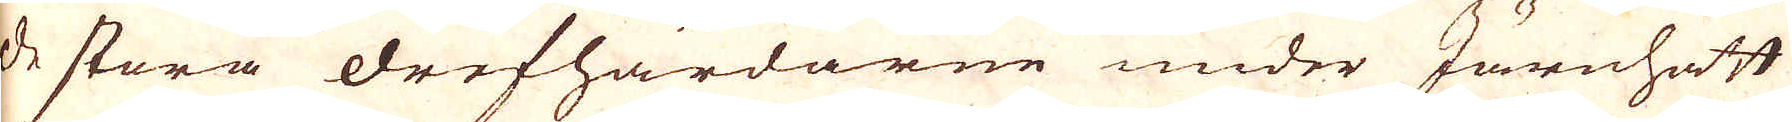de stora drefhärdarne under Järnhatt
